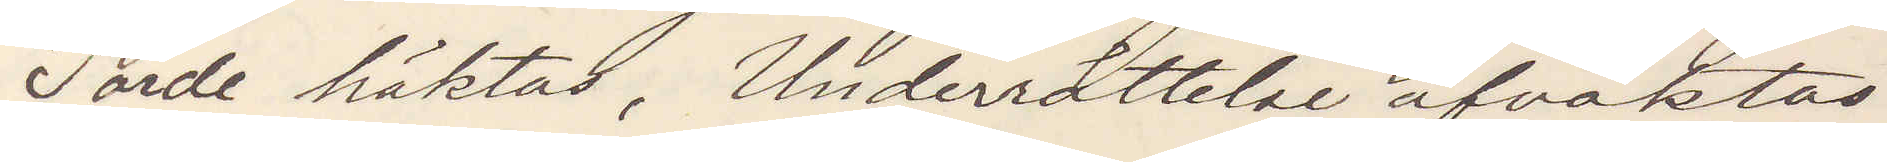Torde häktas. Underrättelse afvaktas.
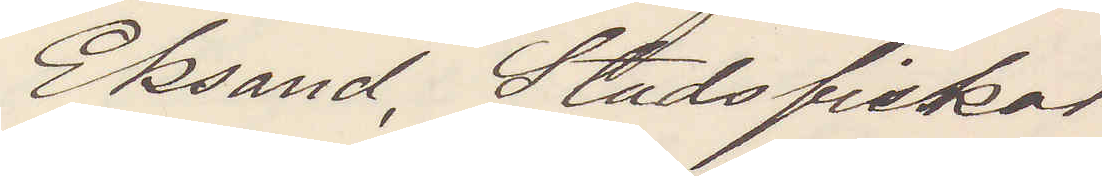Eksand, Stadsfiskal
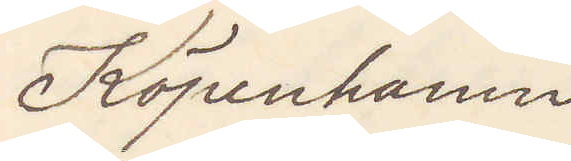Köpenhamn.
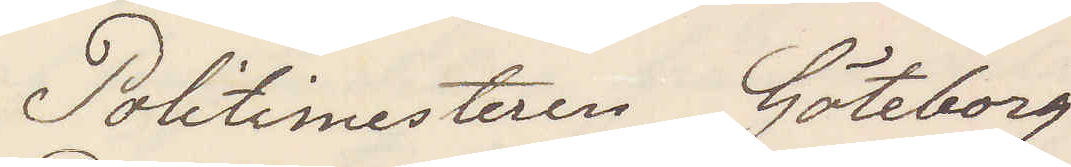Politimesteren Göteborg
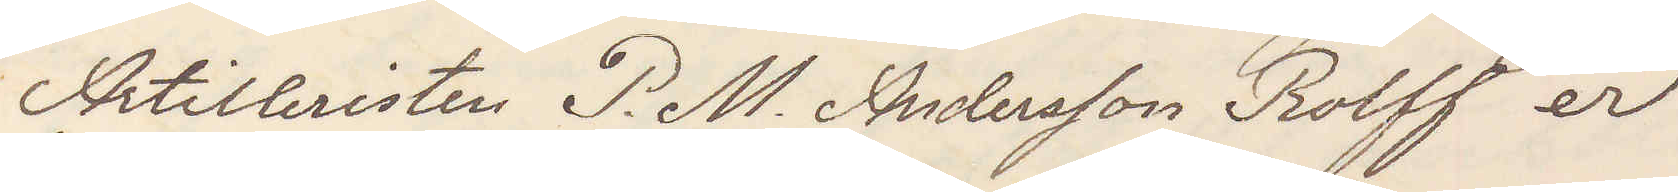Artilleristen P. M. Andersson Rolff er
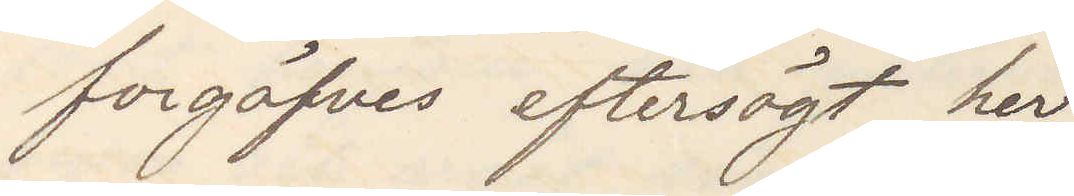forgäfves eftersögt her.
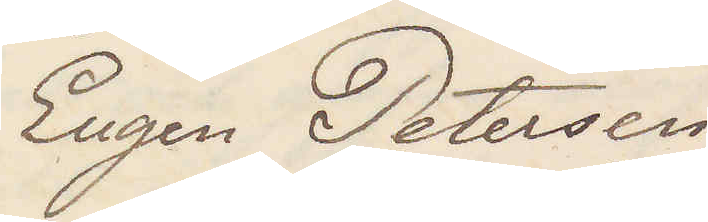Eugen Petersen
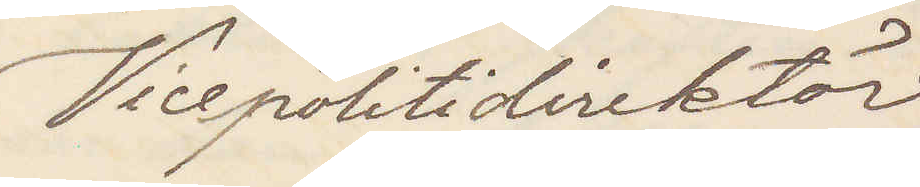Vicepolitidirektör
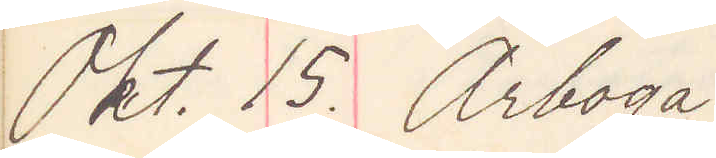Okt. 15. Arboga
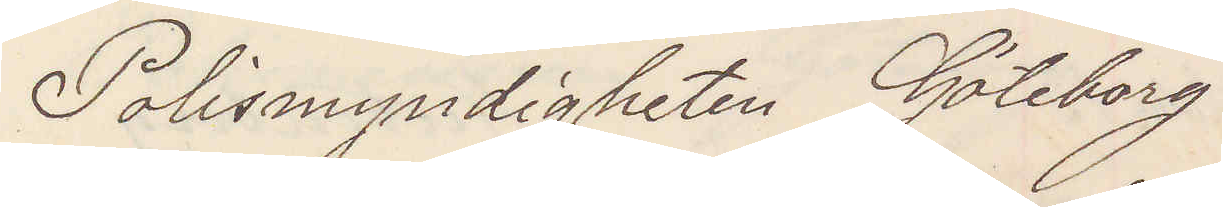Polismyndigheten Göteborg
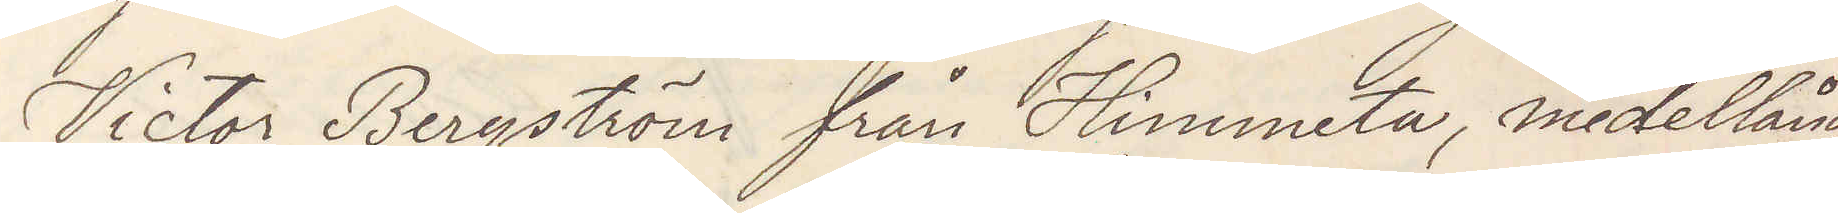Victor Bergström från Himmeta, medellång,
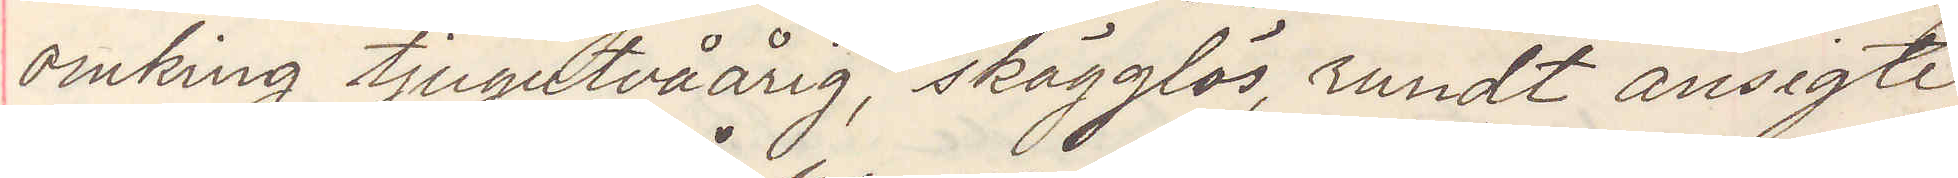omkring tjugotvåårig, skägglös, rundt ansigte
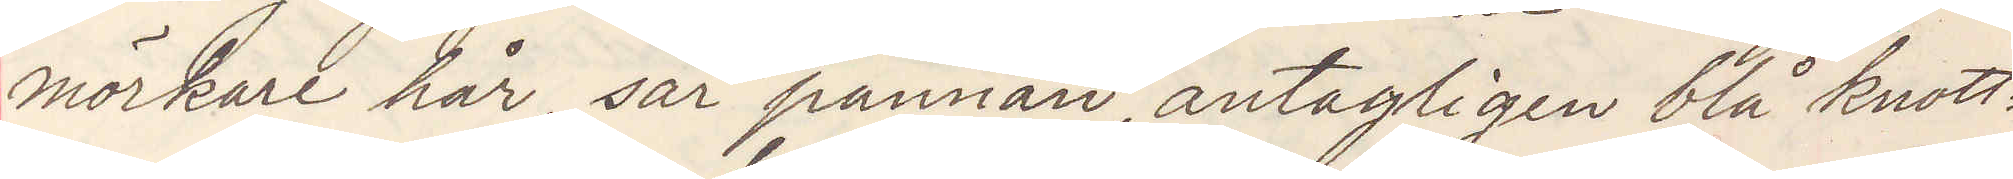mörkare hår, sår pannan antagligen blå knott¬
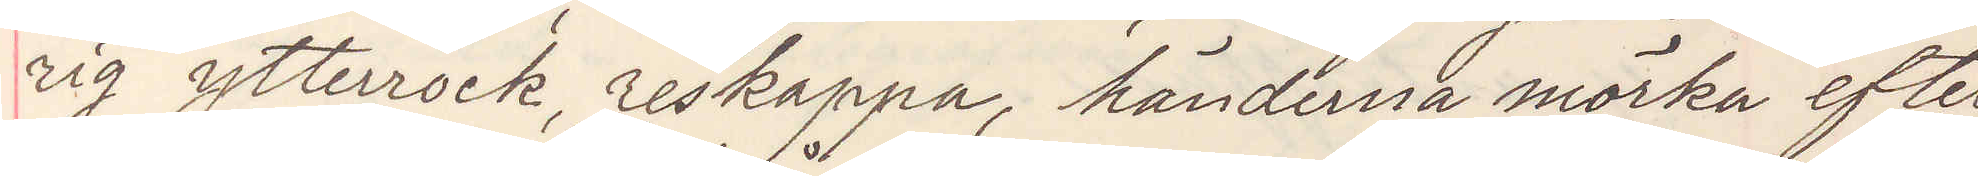rig ytterrock, reskappa, händerna mörka efter
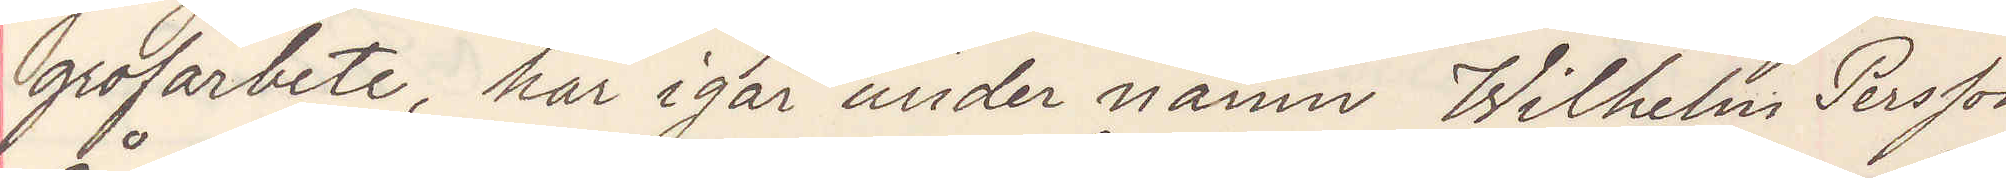grofarbete, här igår under namn Wilhelm Persson
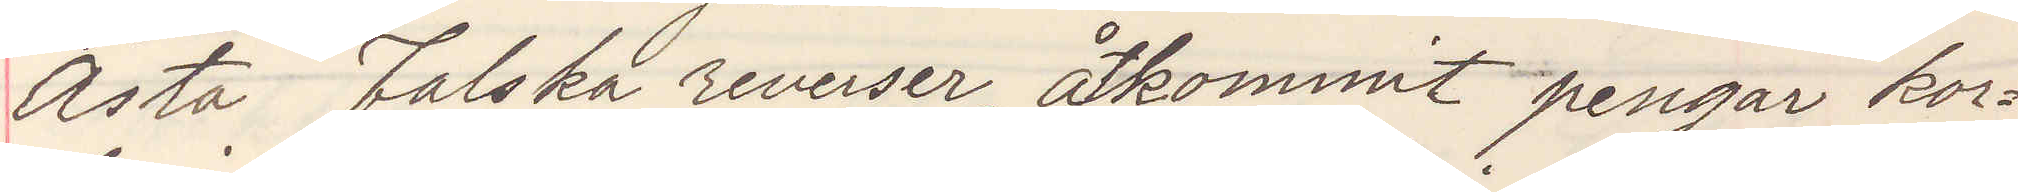Åsta Falska reverser, åtkommit pengar kor¬
